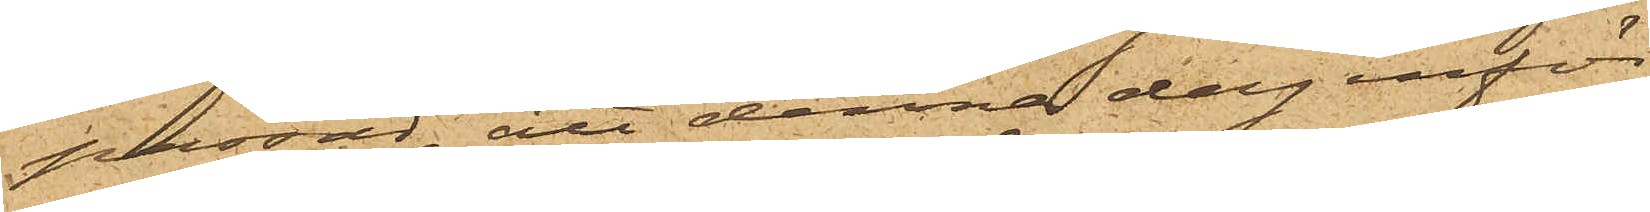passad, att denna dag inför
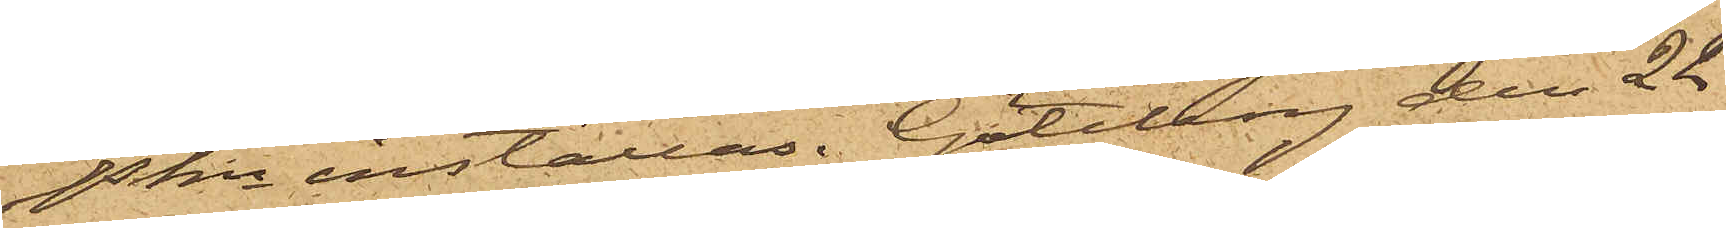Pkn inställas. Göteborg den 22
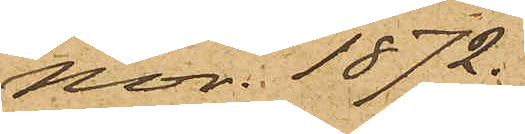Nov. 1872.
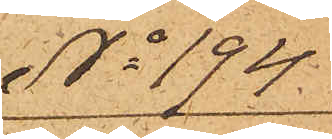No 194.
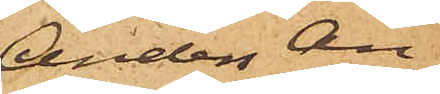Anders An¬
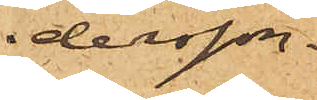dersson.
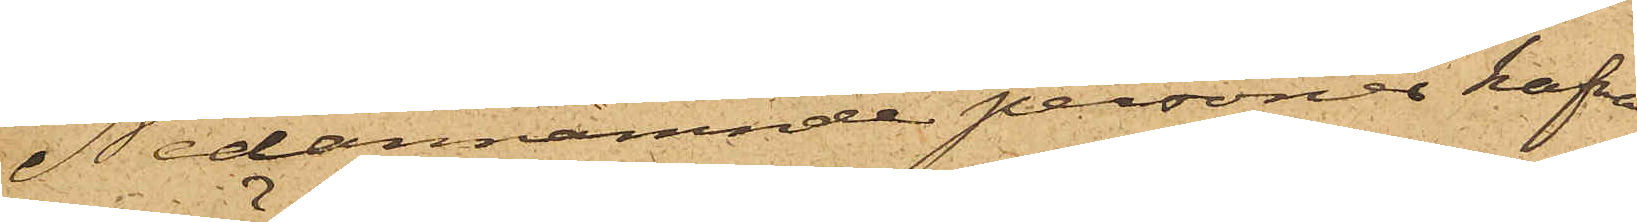Nedannämnde personer hafva
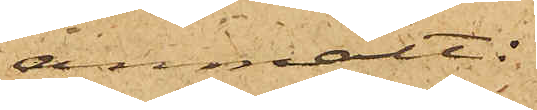anmält:
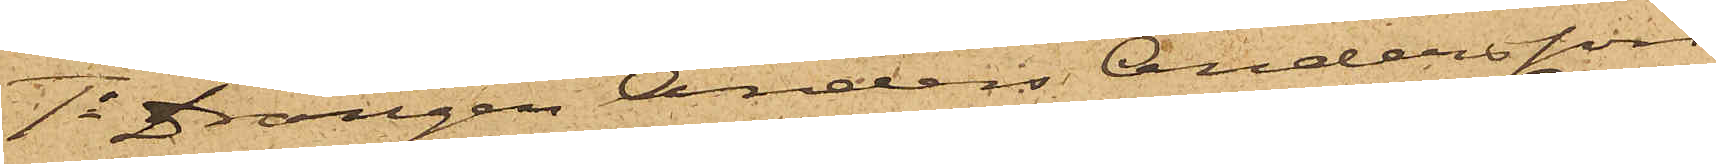1o Drängen Anders Andersson
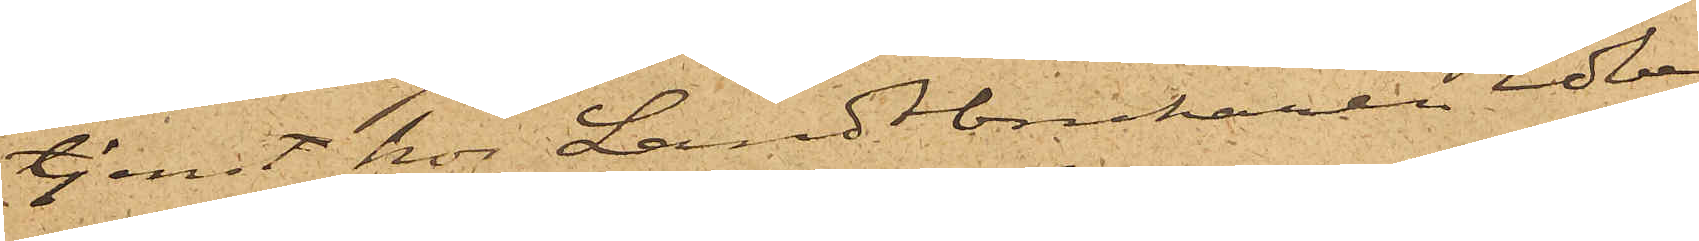tjenst hos Landtbrukaren Edberg
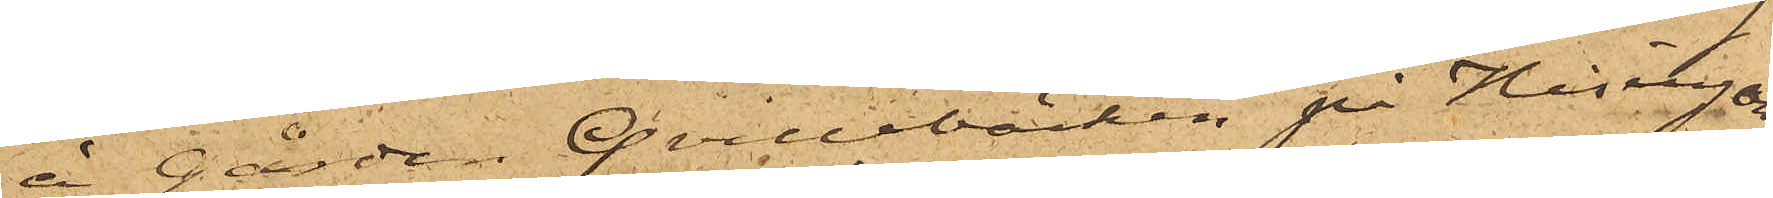å gården Qvillebäcken på Hisingön,
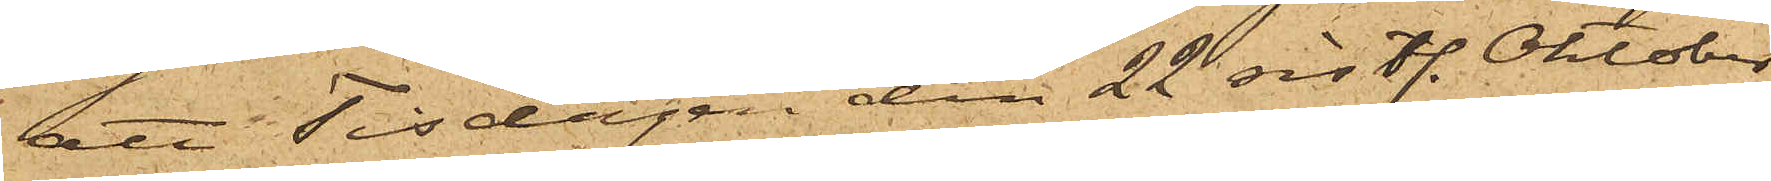att Tisdagen den 22 sistl. Oktober
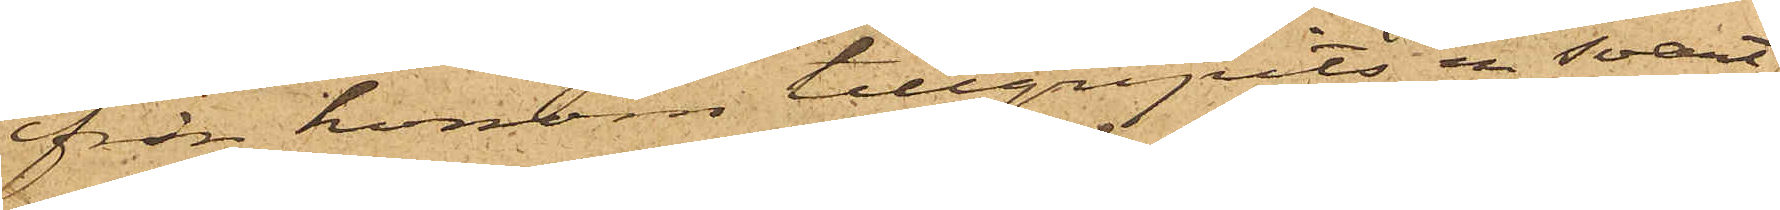från honom tillgripits en svart
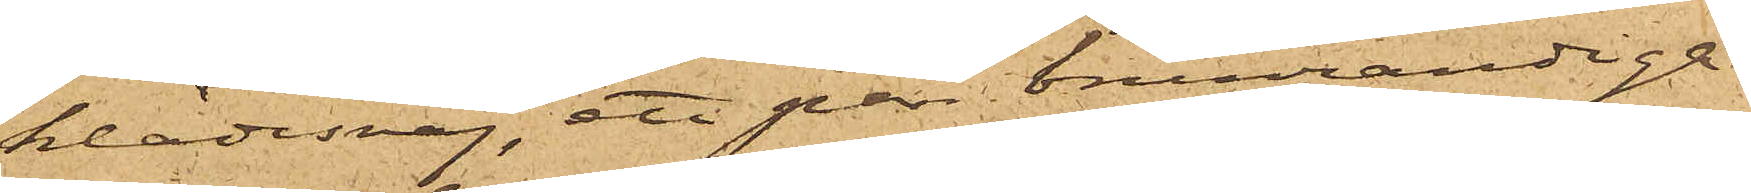klädesvaj, ett par brunrandiga
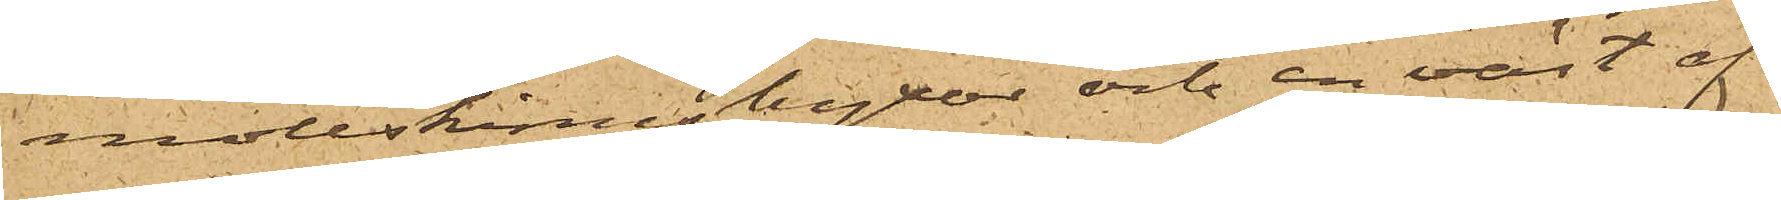mollskinnsbyxor och en väst af
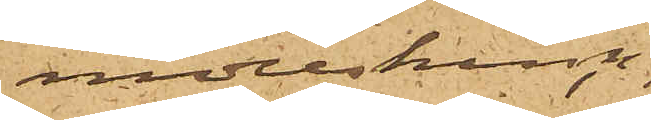mollskinn,
